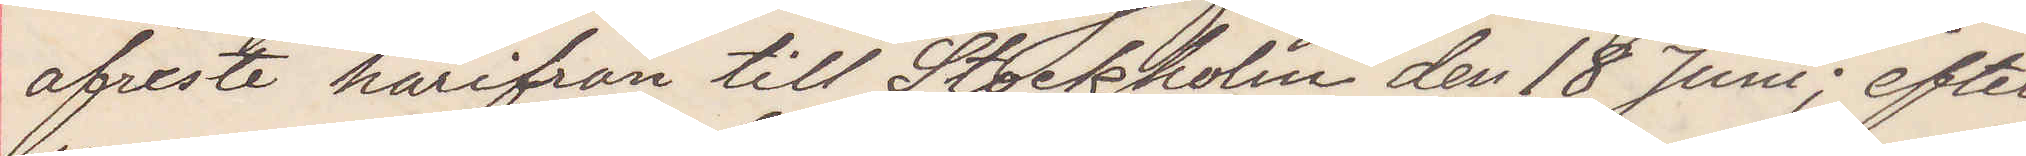afreste härifrån till Stockholm den 18 Juni; efter¬
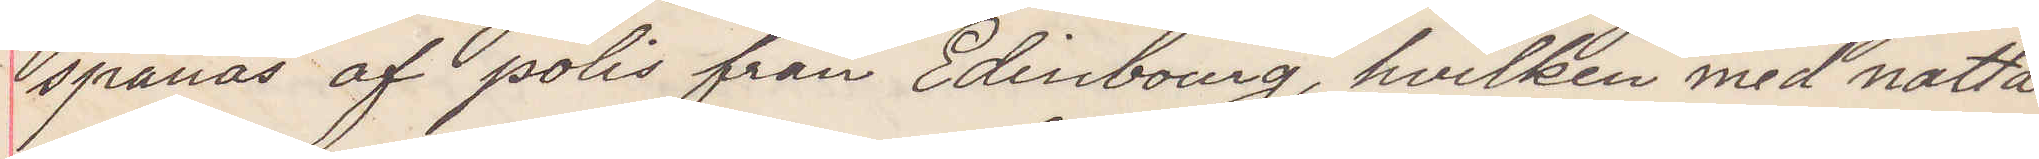spanas af polis från Edinbourg hvilken med nattå¬
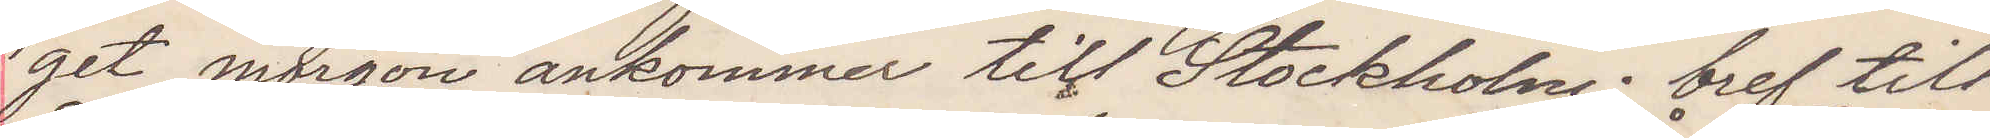get morgon ankommer till Stockholm bref till
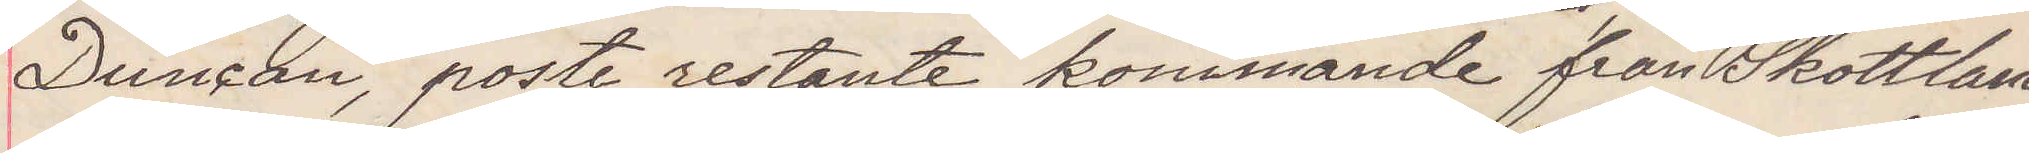Duncan poste restante kommande från Skottland
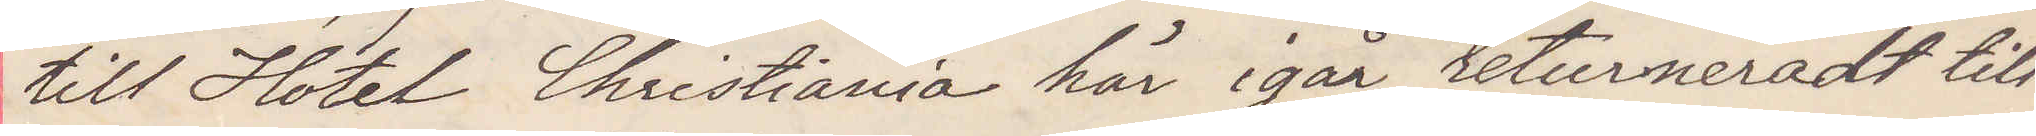till Hotel Christiania här igår returneradt till
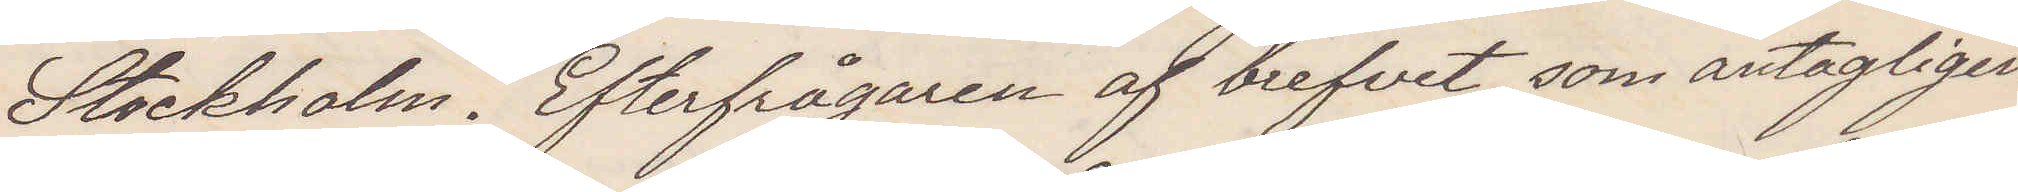Stockholm Efterfrågaren af brefvet som antagligen
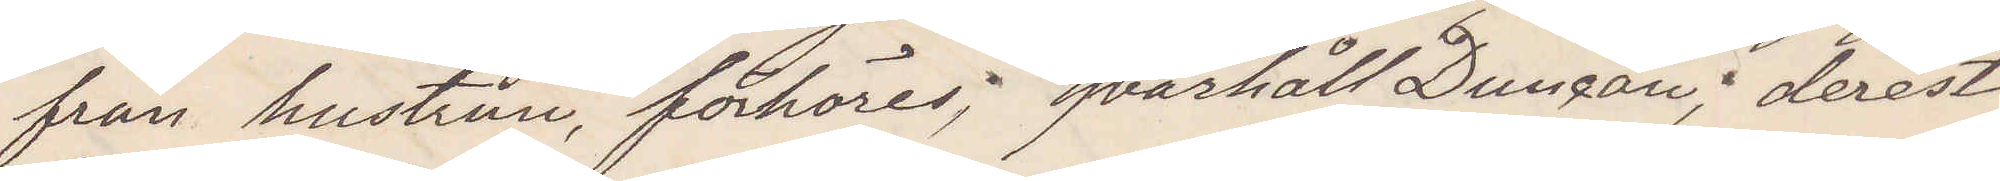från hustrun, förhöres; qvarhåll Duncan derest
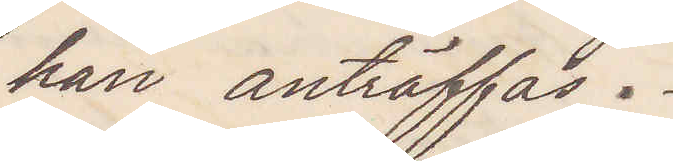han anträffas.
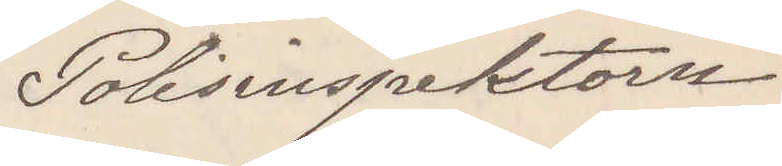Polisinspektorn
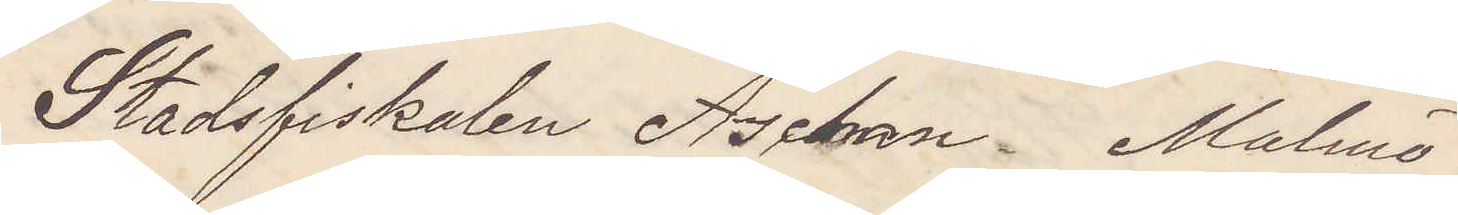Stadsfiskalen Aschan Malmö
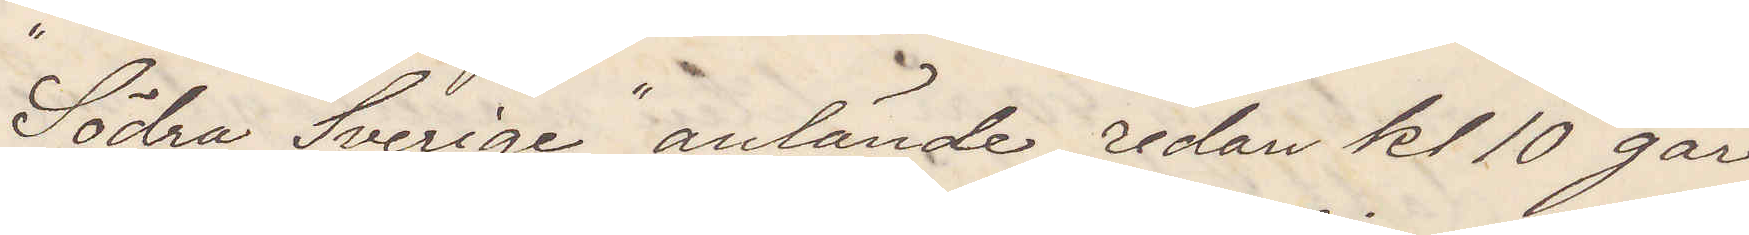Södra Sverige anlände redan kl 10 går
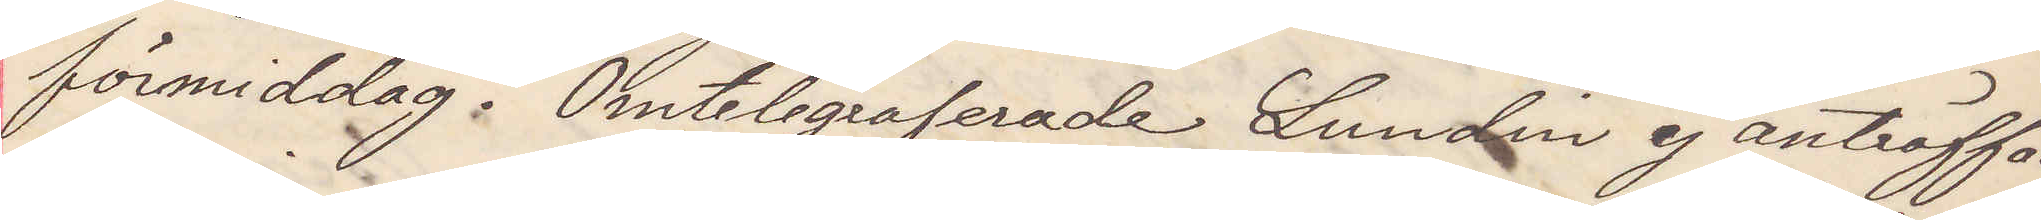förmiddag. Omtelegraferade Lundin ej anträffad.
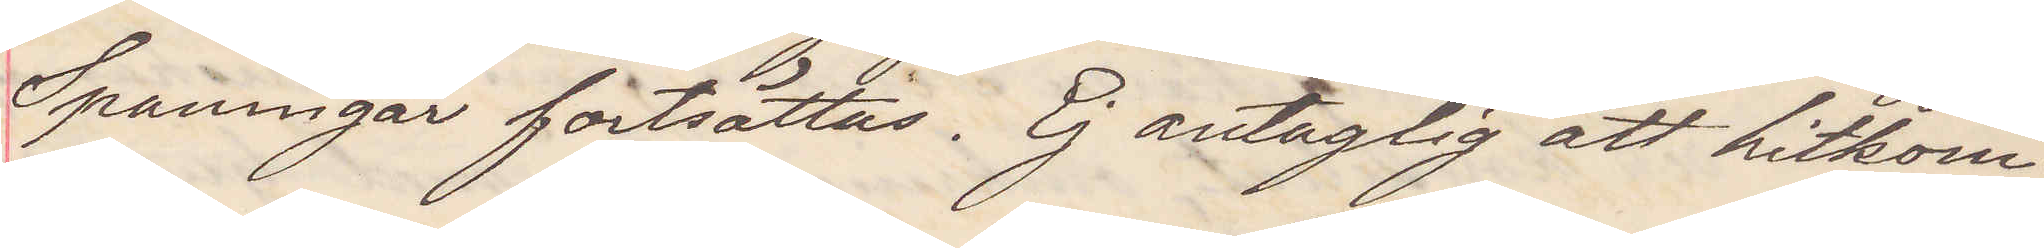Spaningar fortsättas. Ej antaglig att hitkom¬
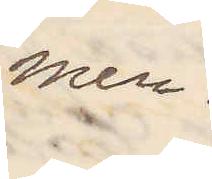men.
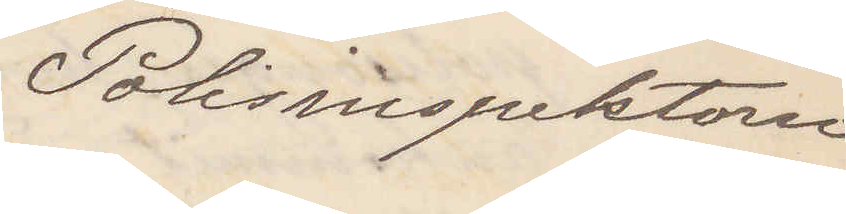Polisinspektorn
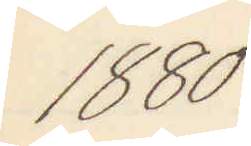1880
